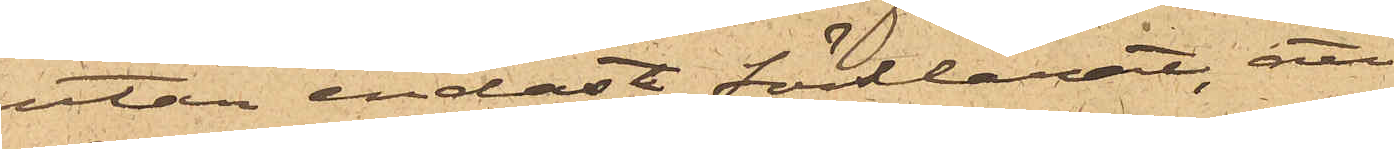utan endast förklarat, att
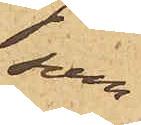som
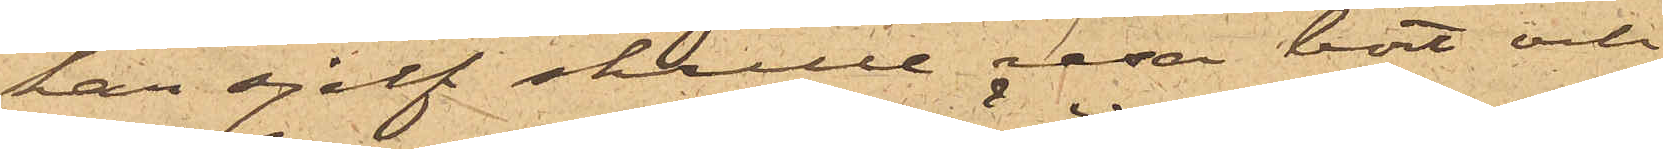han sjelf skulle resa bort och
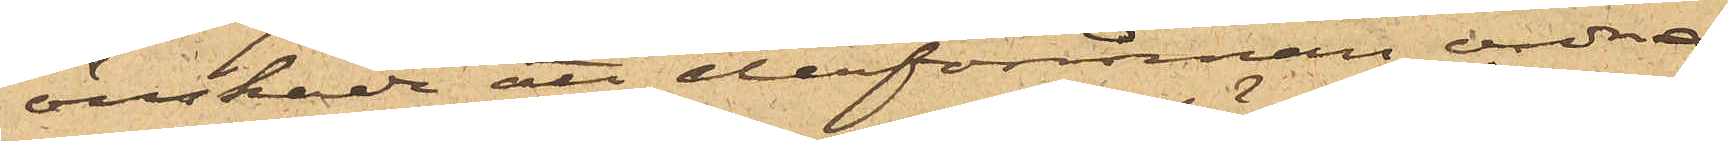önskade att dessförinnan ordna
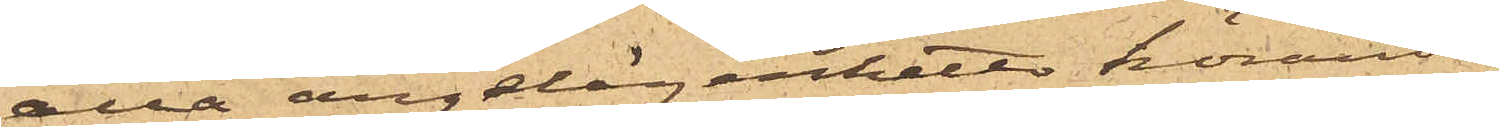alla angelägenheter hörande
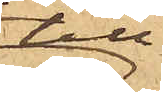till
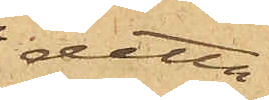detta
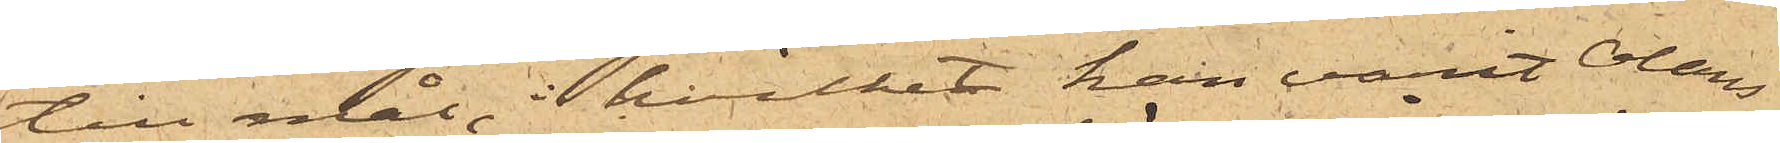til mål, i hvilket han varit Oláns
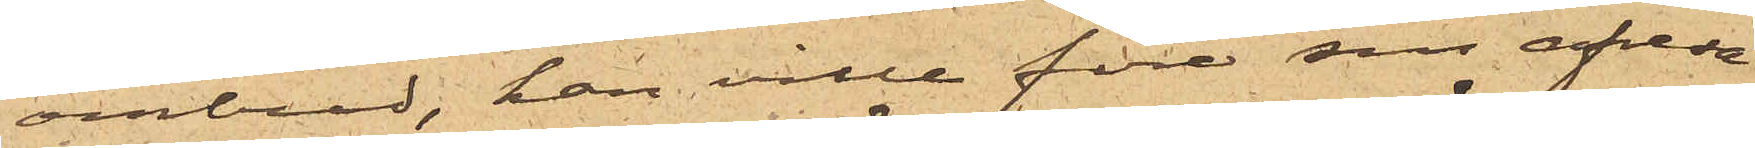ombud, han ville före sin afresa
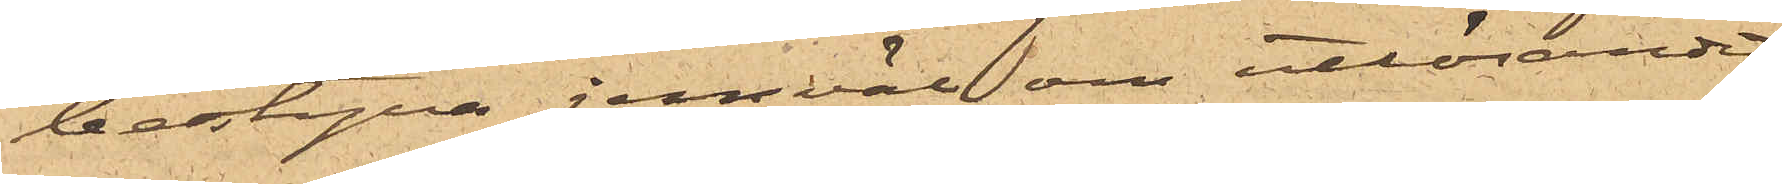bestyra jemväl om utlösandet
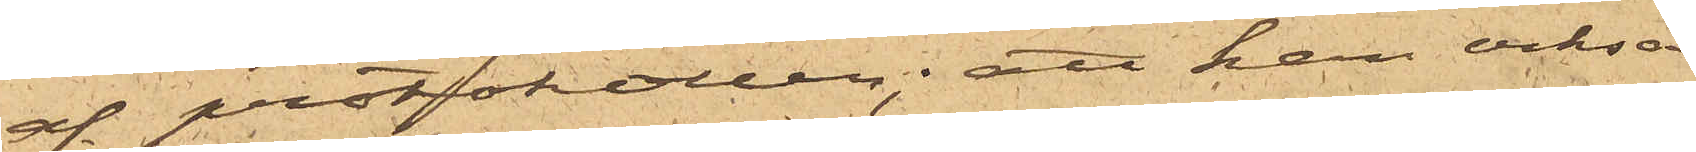af protokollen; att han också
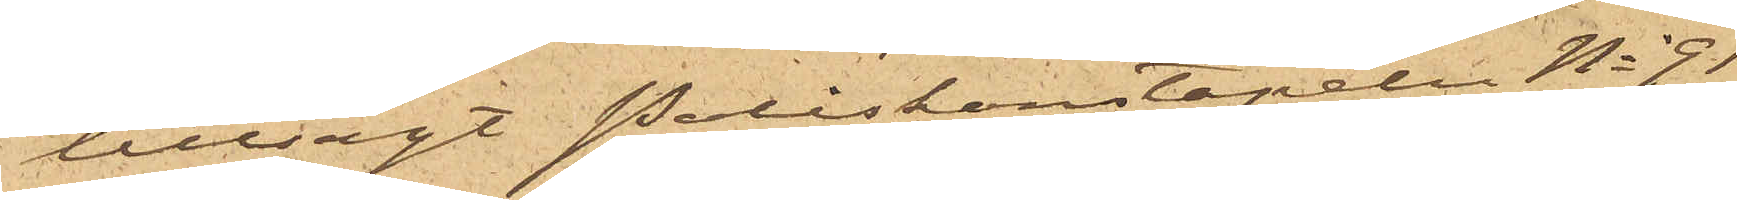tillsagt Poliskonstapeln No 91
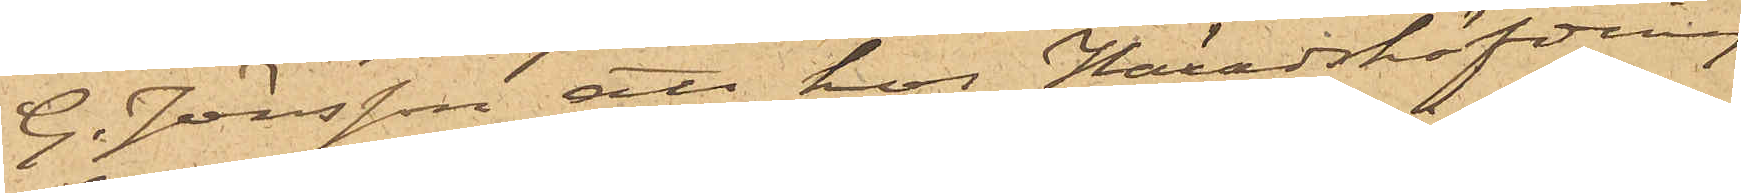G. Jönsson att hos Häradshöfding
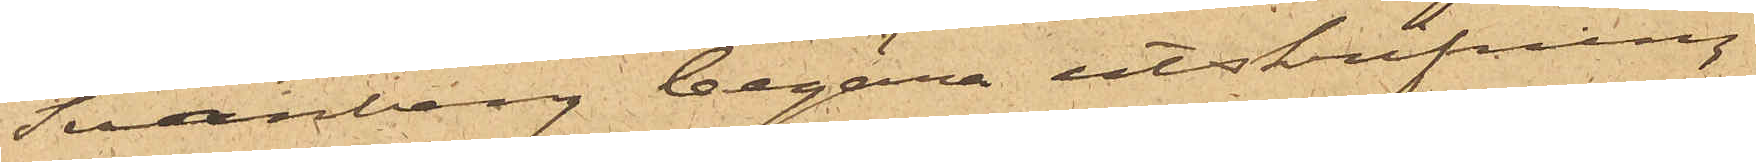Svanberg begära utskrifning
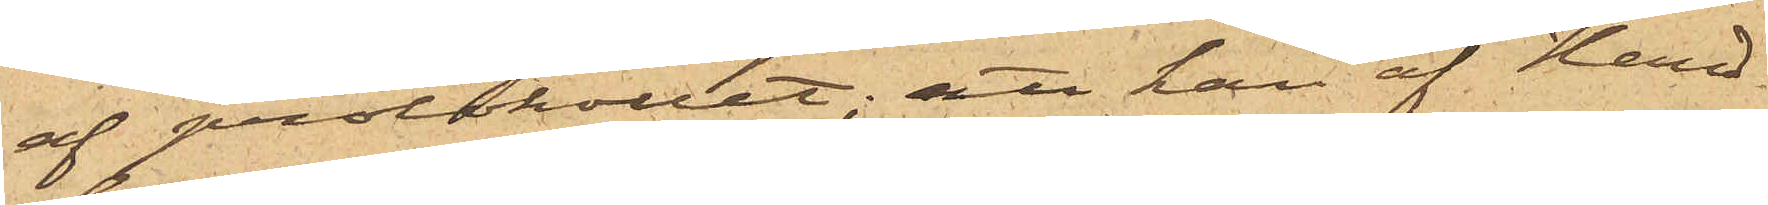af protokollet; att han af Hand¬
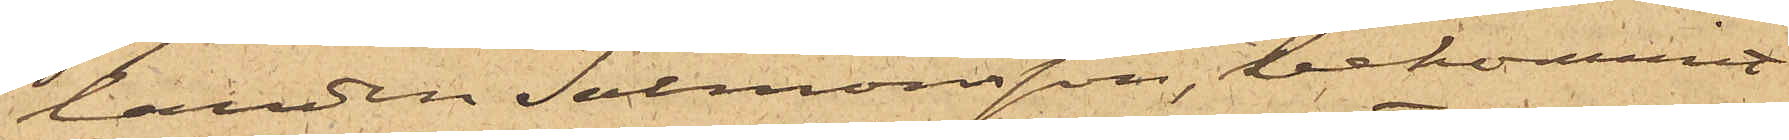landen Salmonsson, bekommit
